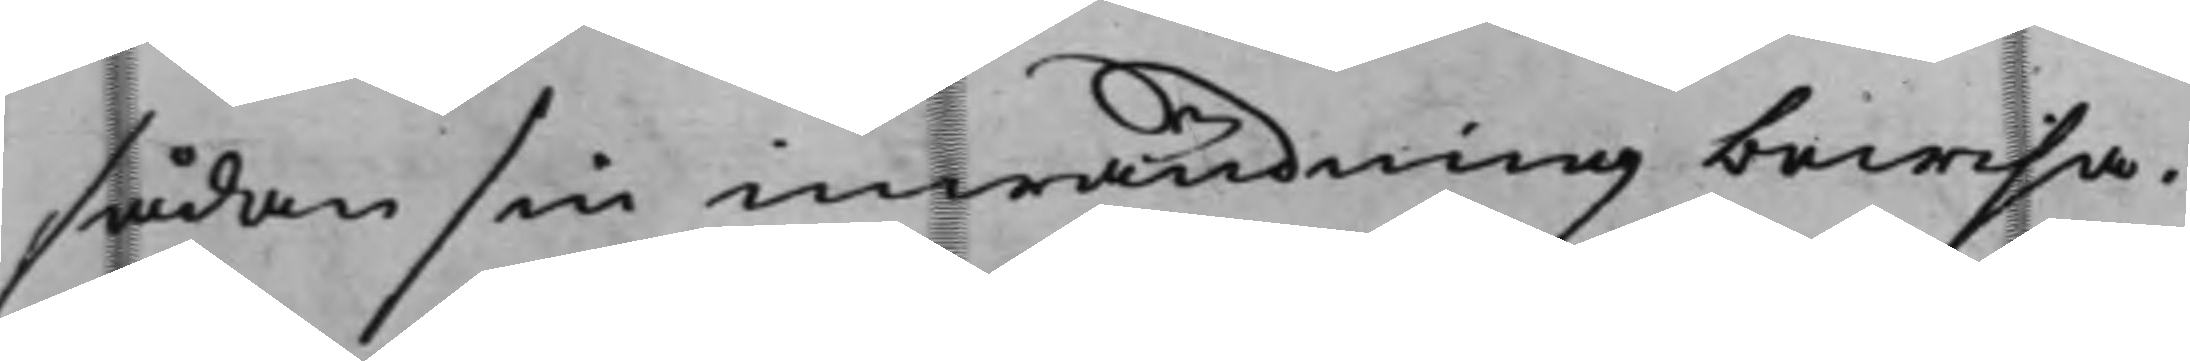sådan sin inwändning bewisa.
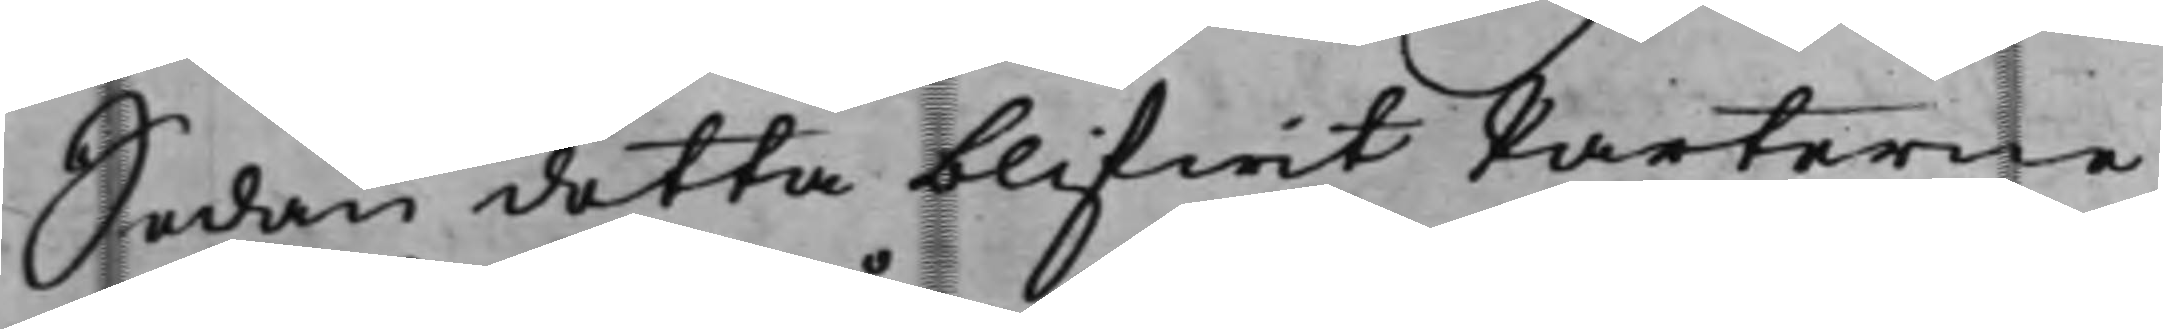Sedan detta blifwit Parterne
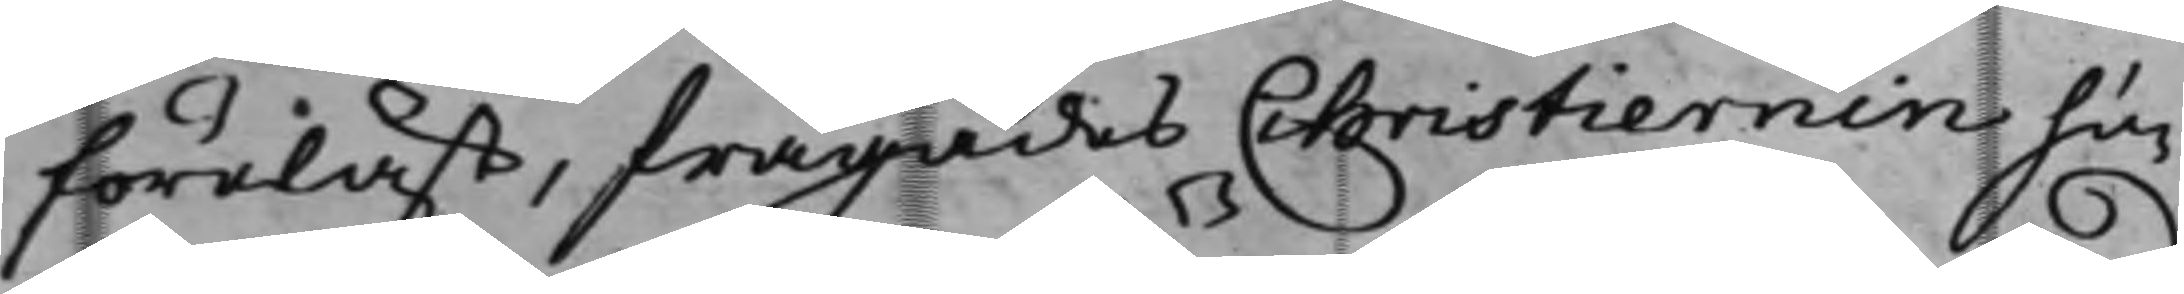föreläst, frågades Christiernin hu¬
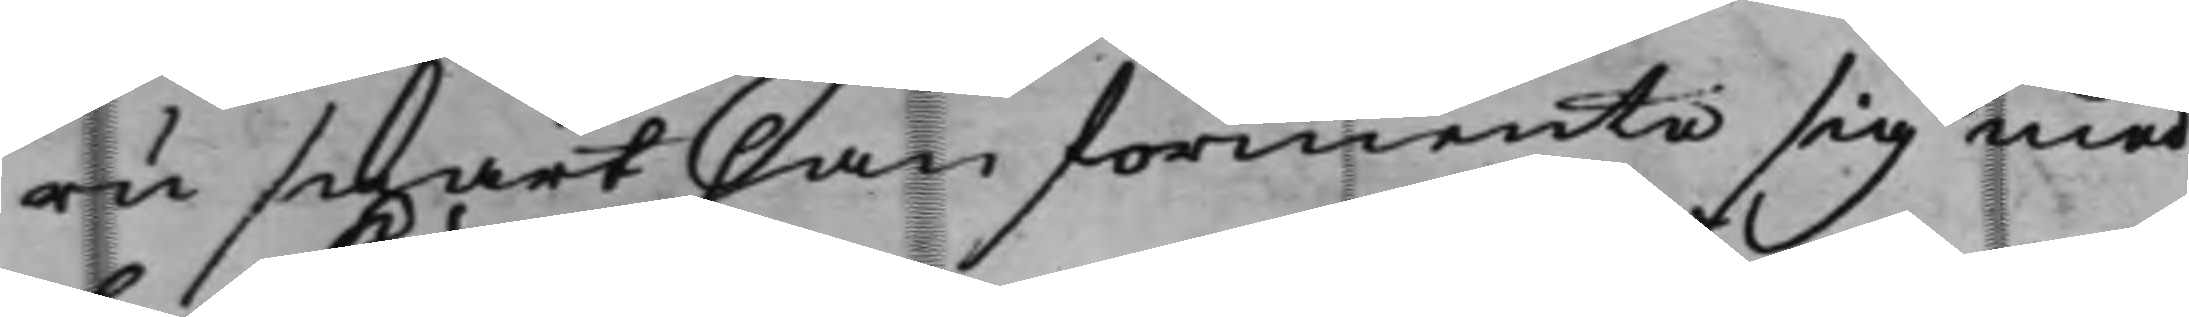ru snart han förmente sig med
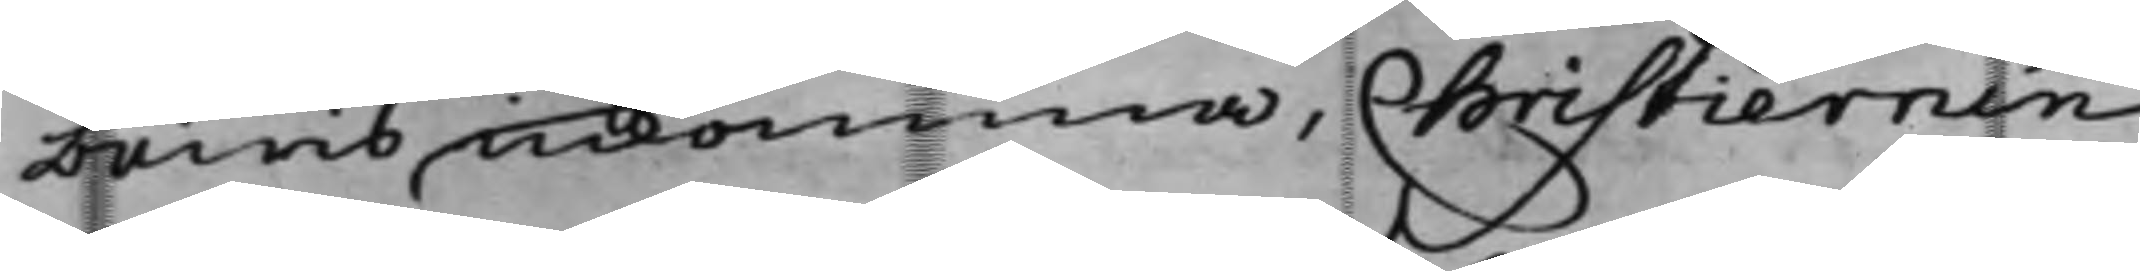bewis inkomma, Christiernin
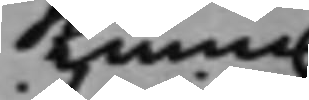kunna
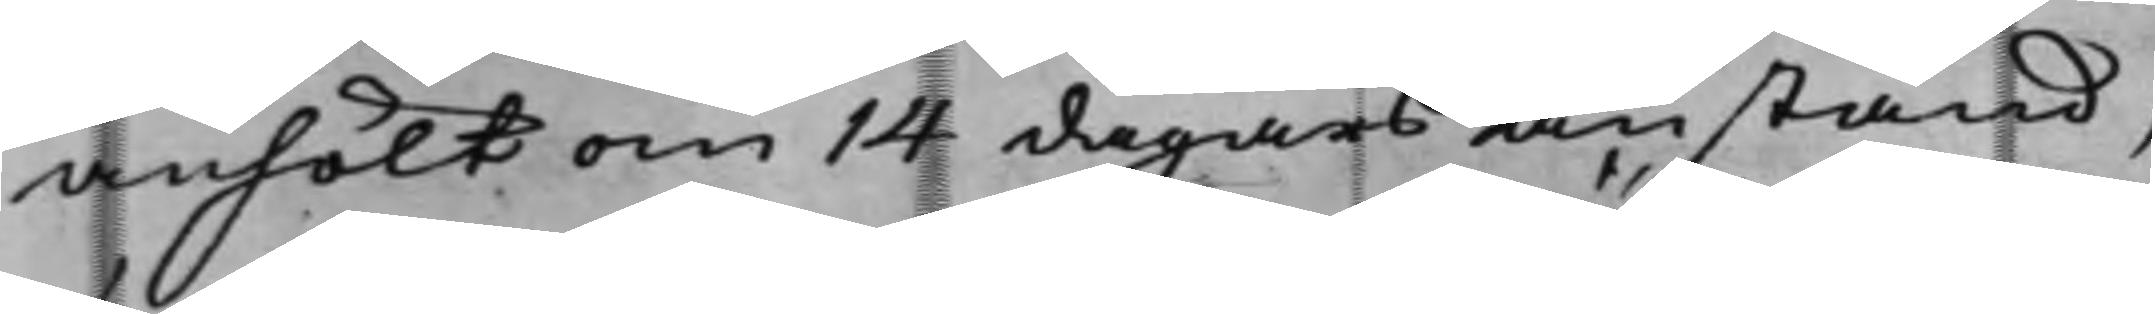anhölt om 14 dagars anstånd,
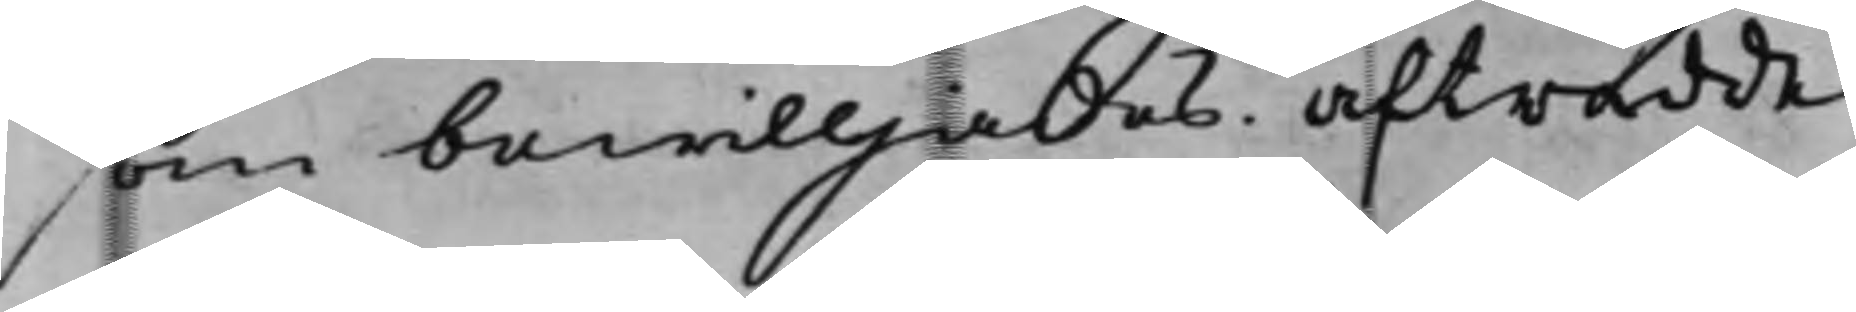som bewilljades. Afträdde.
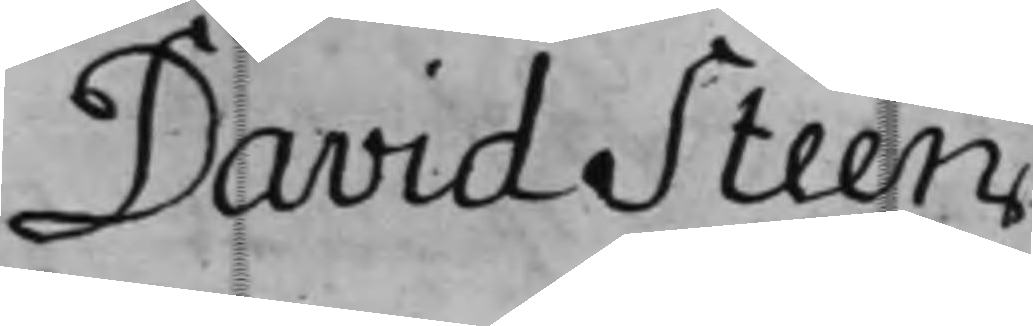David Steen
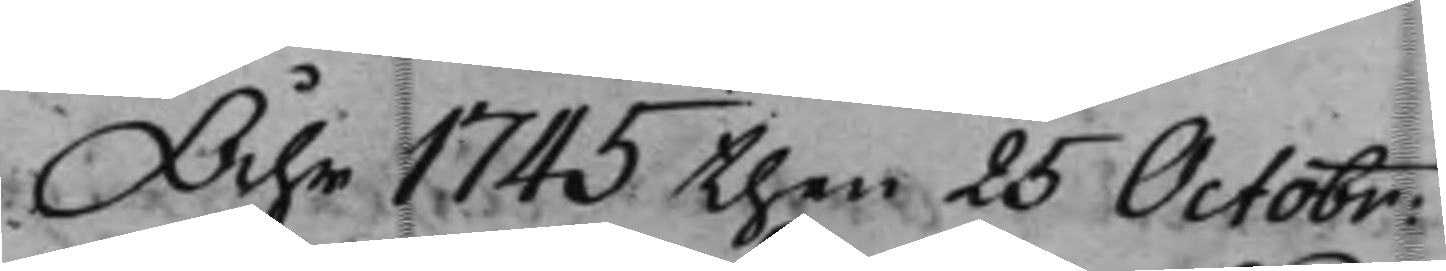Åhr 1745 then 25 Octobr:
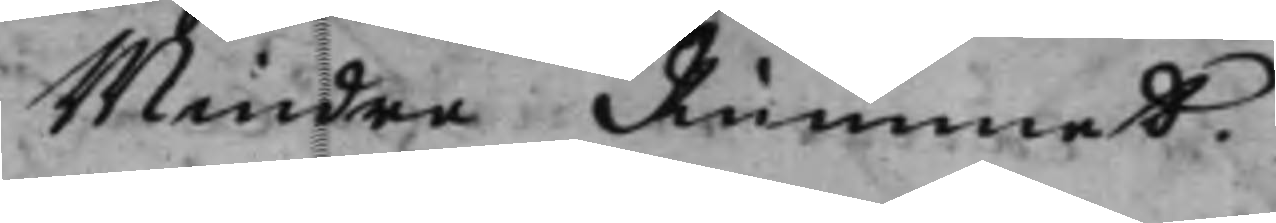Mindre Rummet.
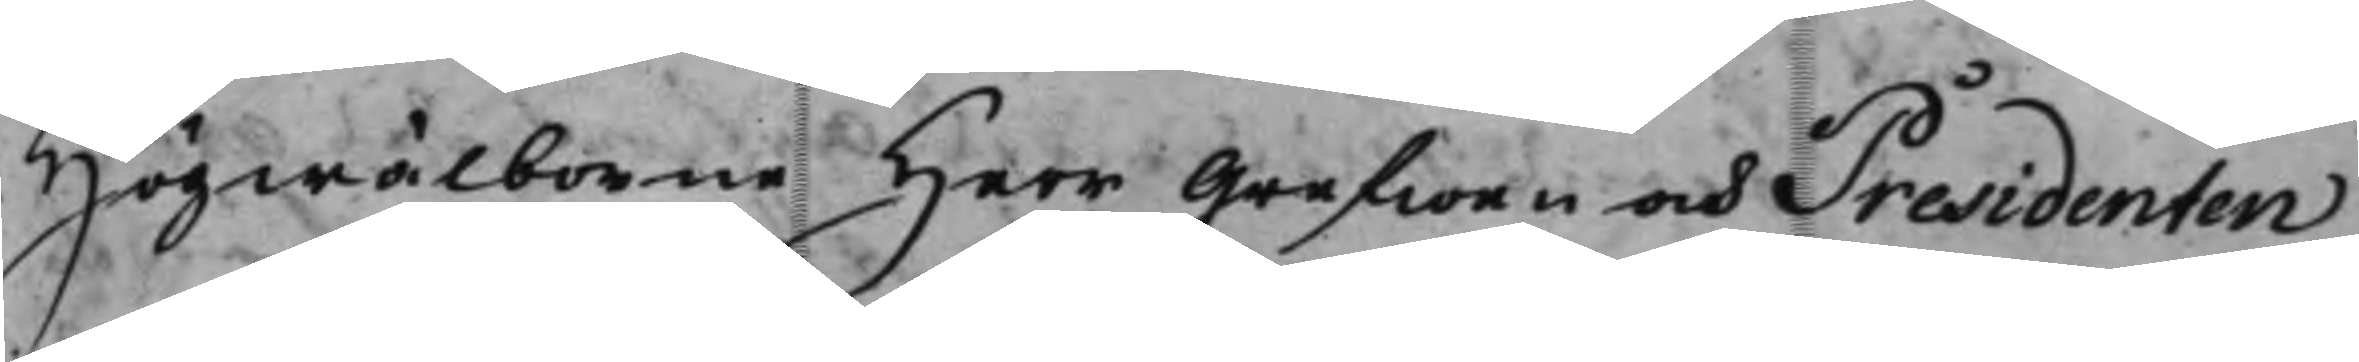Högwälborne Herr Grefwen och Presidenten
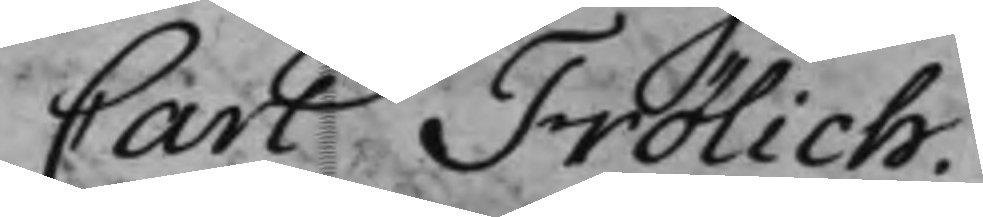Carl Frölich.
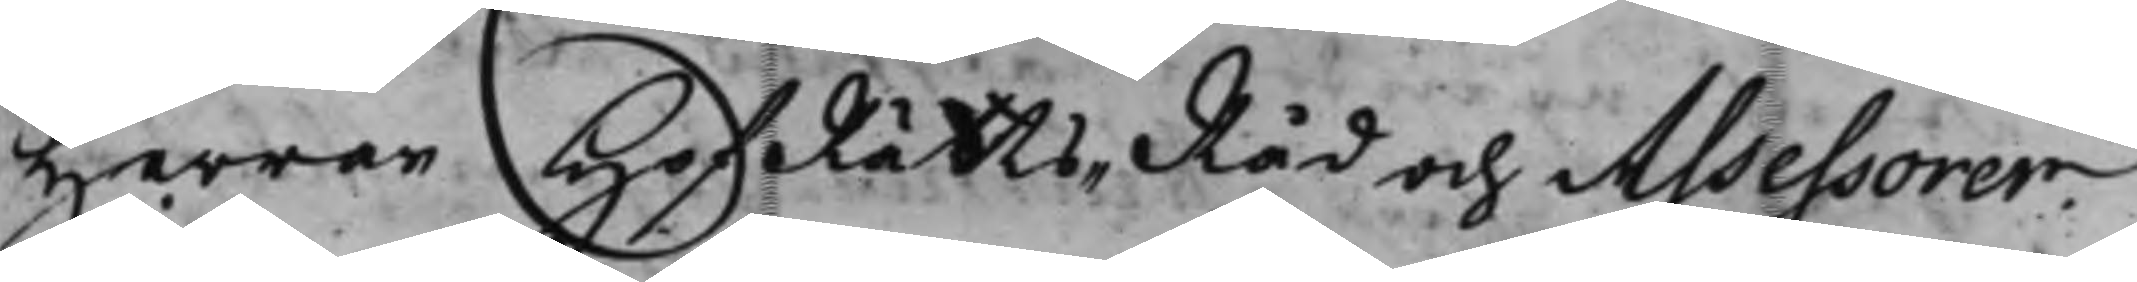Herrar HofRättsRåd och Assessorer
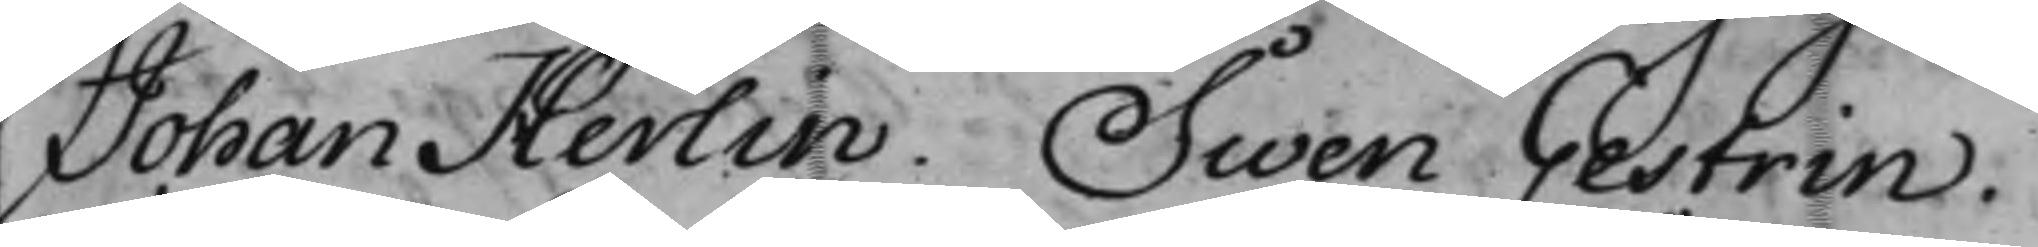Johan Herlin. Swen Gestrin.
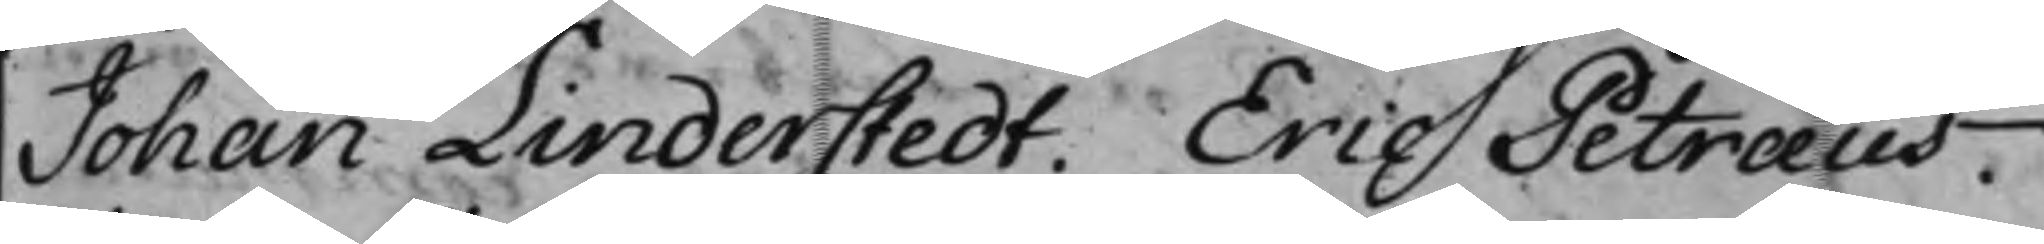Johan Linderstedt. Eric Petræus.
